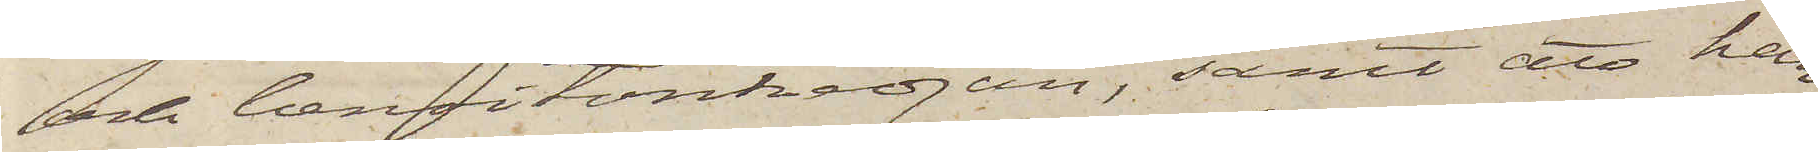och benoitonkedjan, samt att han
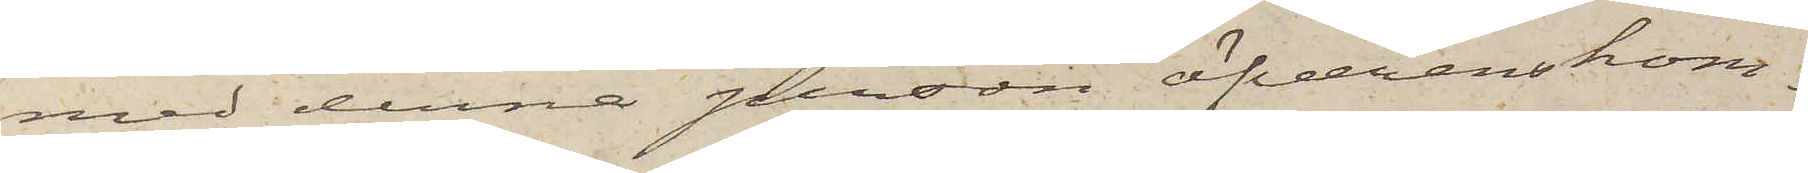med denna person öfverenskom¬
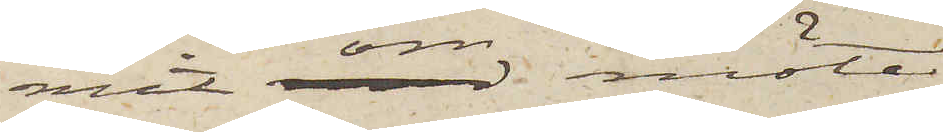mit om möte
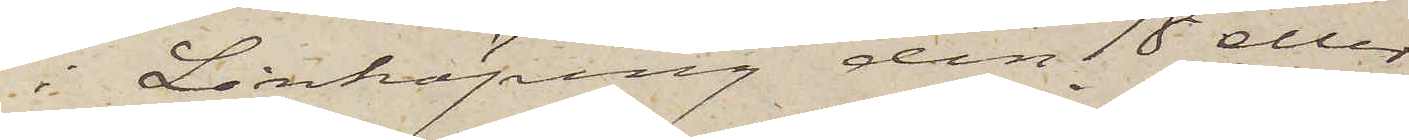i Linköping den 18 eller
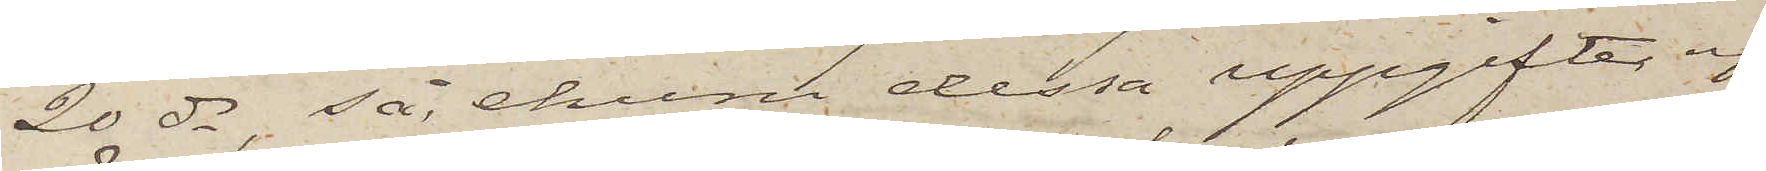20 ds, så, ehuru dessa uppgifter ej
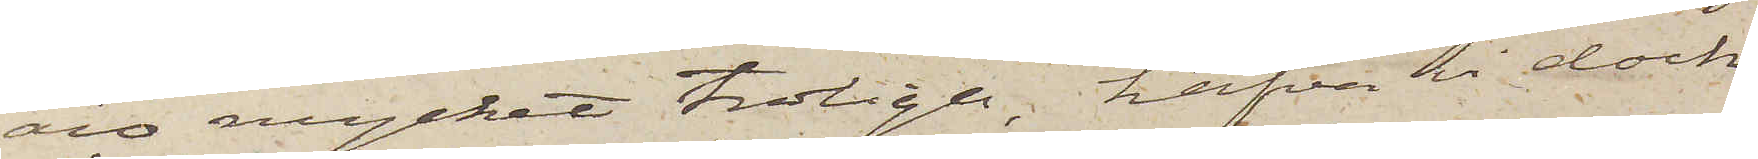äro mycket troliga, hafva vi dock
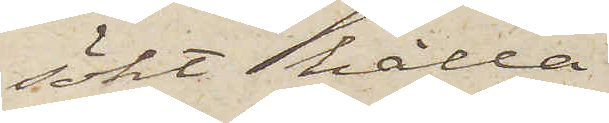sökt hålla
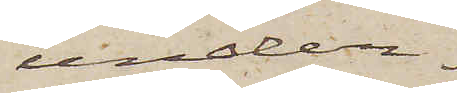under¬
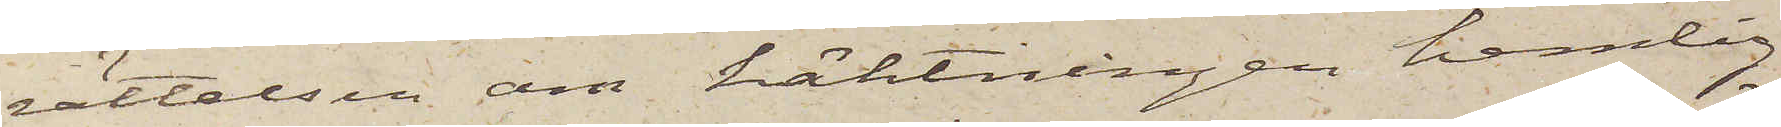rättelsen om häktningen hemlig,
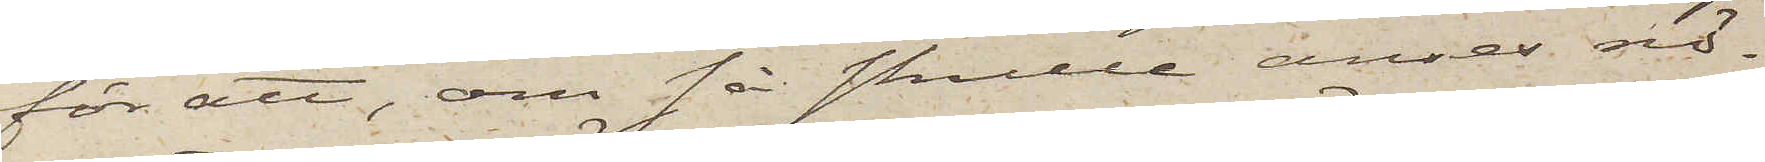för att, om så skulle anses nö¬
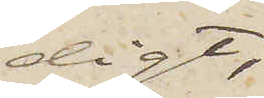digt,
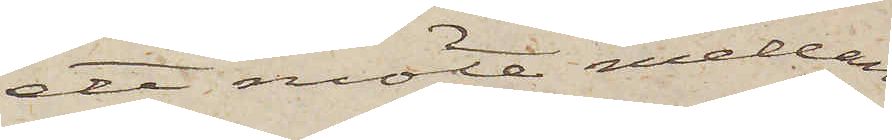ett möte mellan
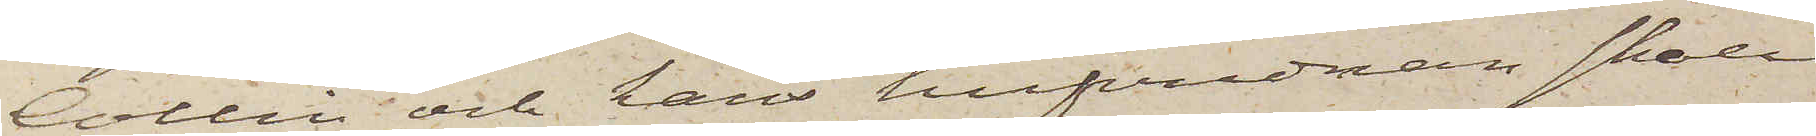Collin och hans hufvudman skall
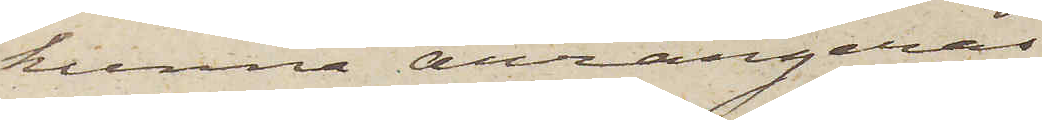kunna arrangeras.
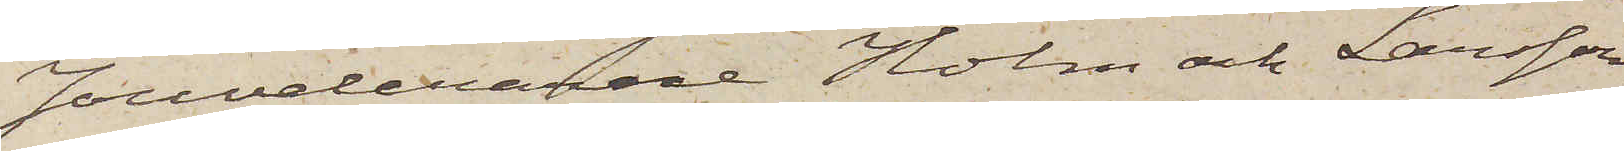Jouvelerarne Holm och Larsson
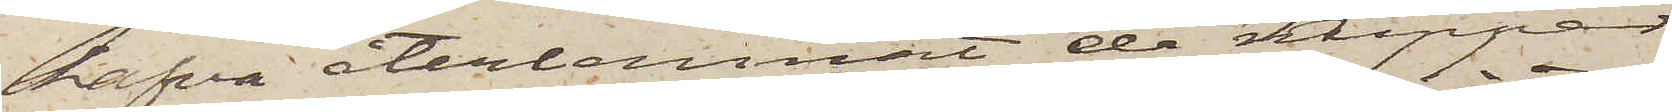hafva återlemnat de Nipper
